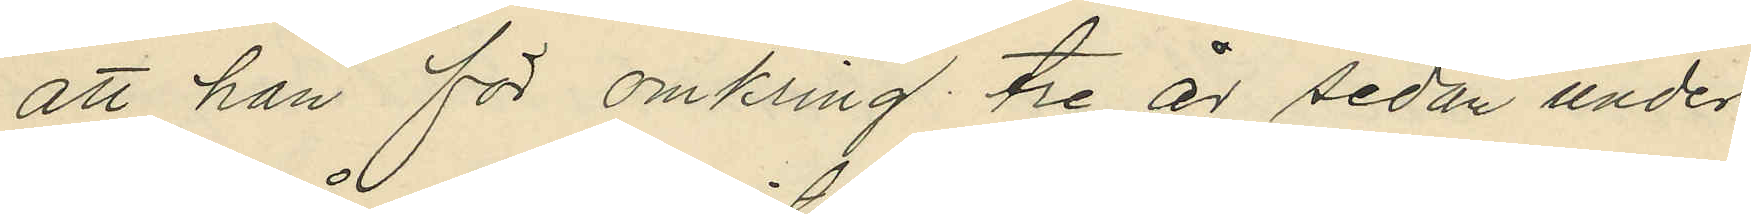att han för omkring tre år sedan under
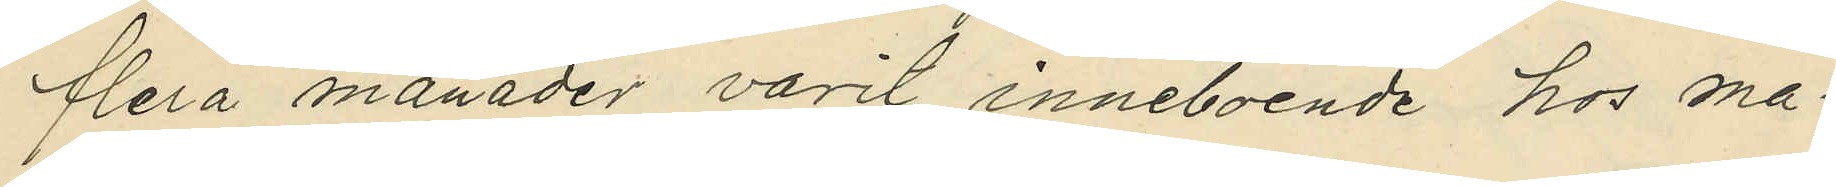flera månader varit inneboende hos ma¬
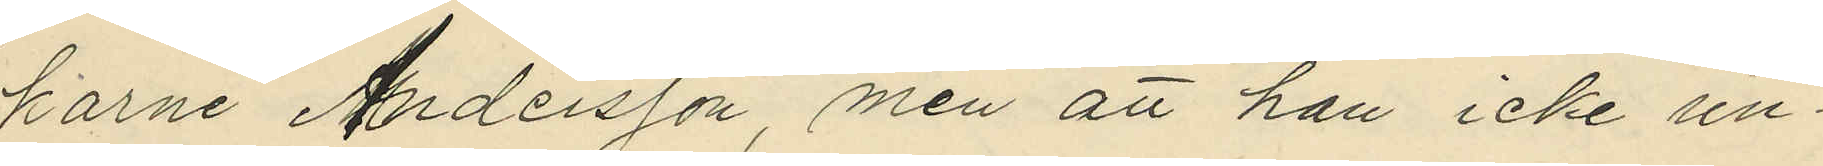karne Andersson, men att han icke un¬
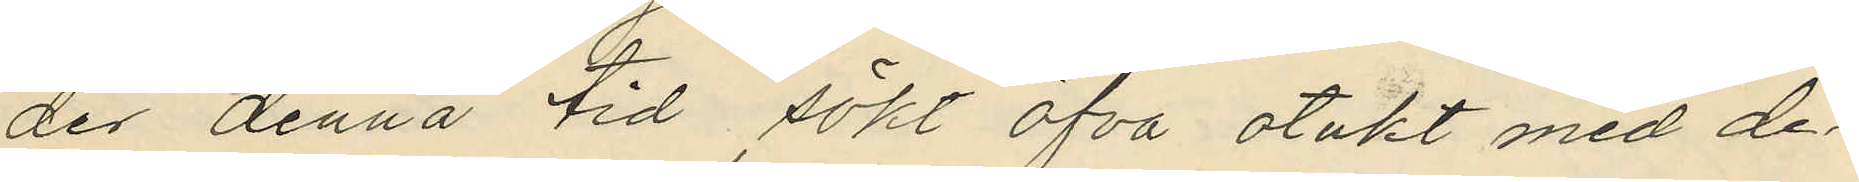der denna tid sökt öfva otukt med de¬
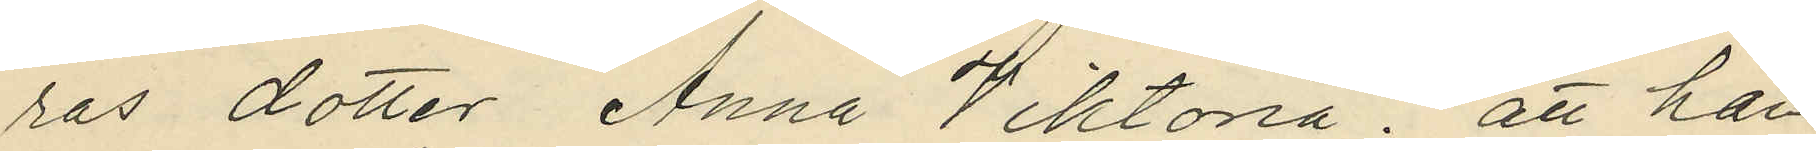ras dotter Anna Viktoria; att han
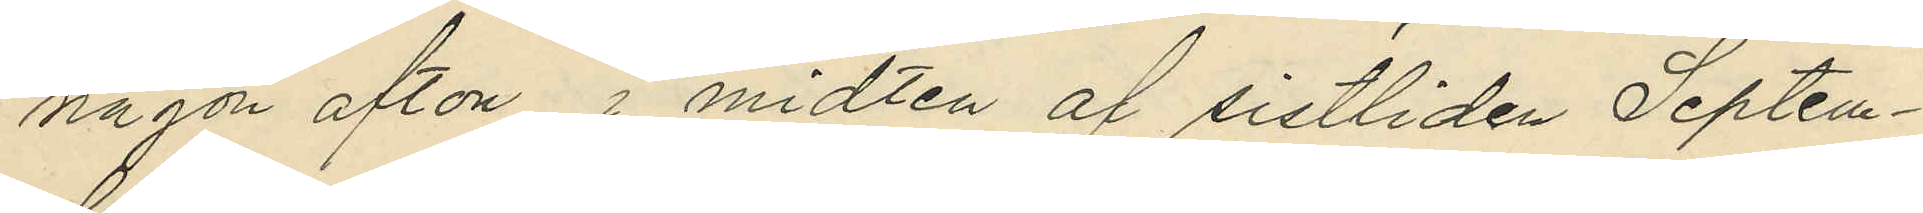någon afton i midten af sistliden Septem¬
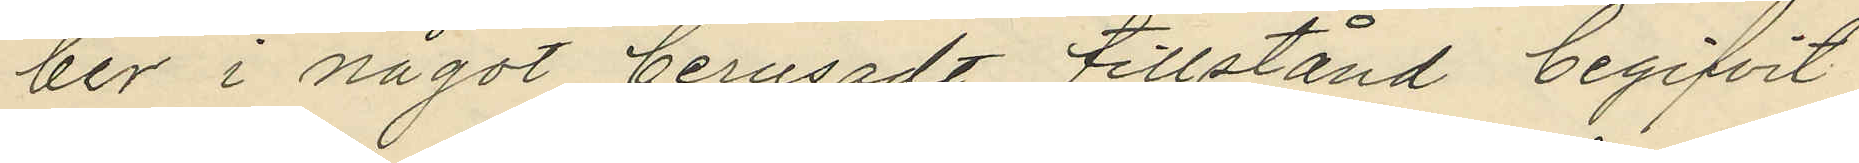ber i något berusadt tillstånd begifvit
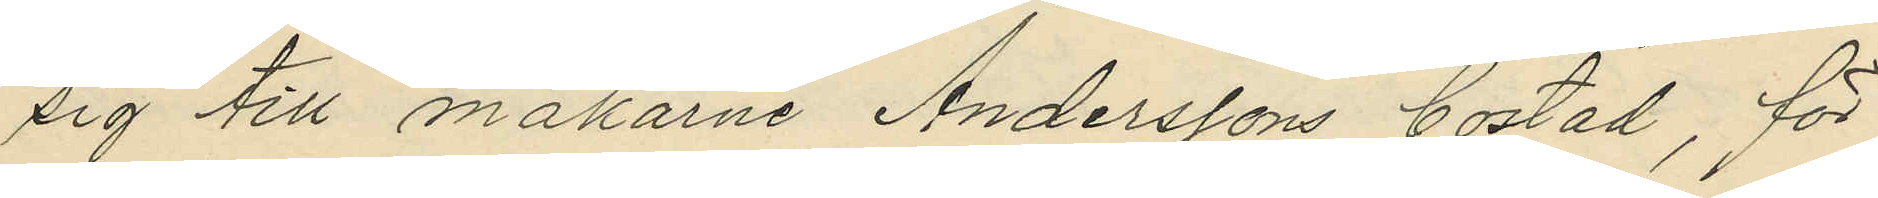sig till makarne Anderssons bostad, för
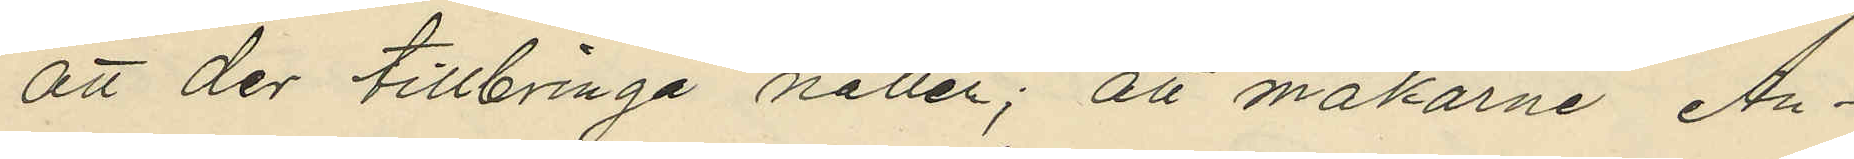att der tillbringa natten; att makarne An¬
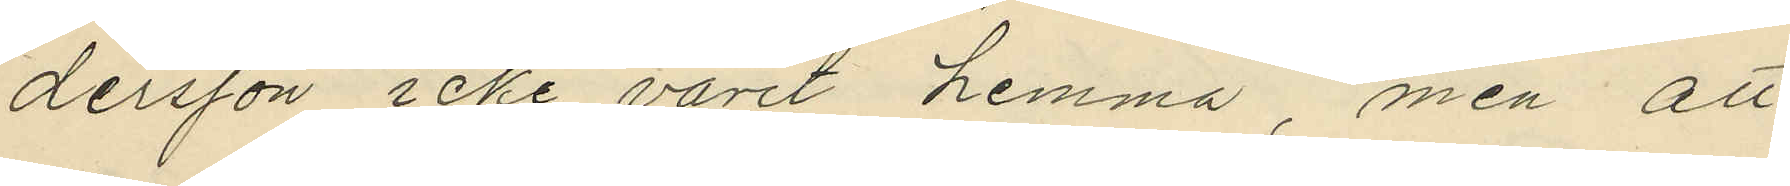dersson icke varit hemma, men att
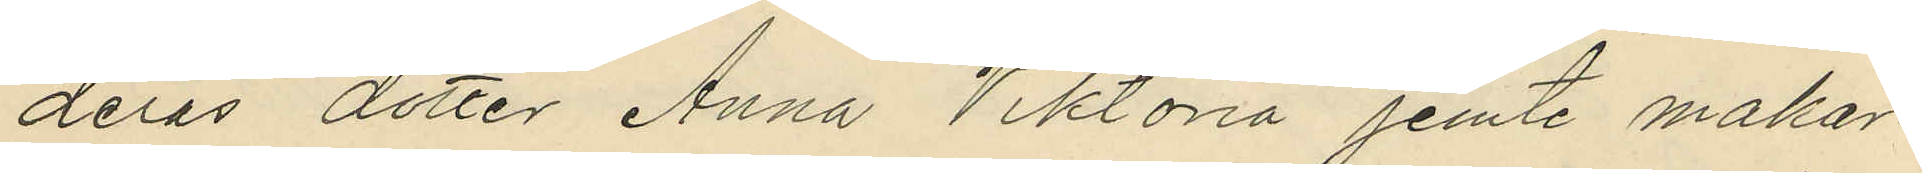deras dotter Anna Viktoria jemte makar¬
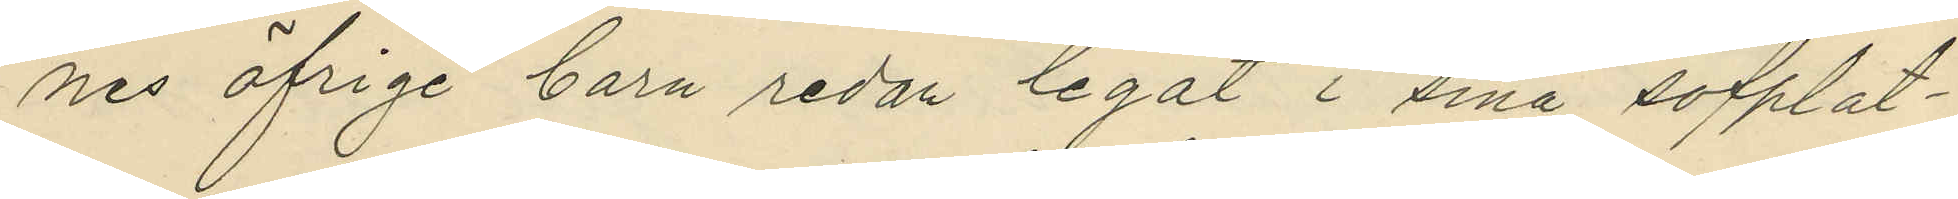nes öfrige barn redan legat i sina sofplat¬
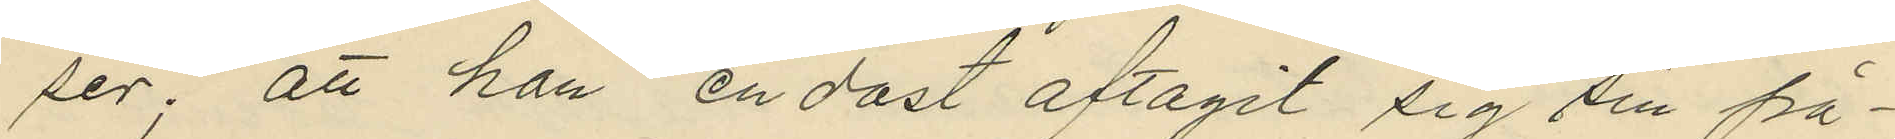ser; att han endast aftagit sig sin på¬
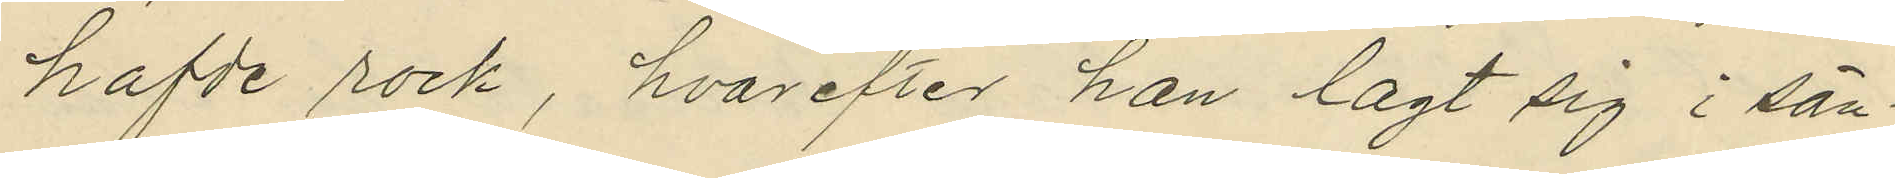hafde rock, hvarefter han lagt sig i sän¬
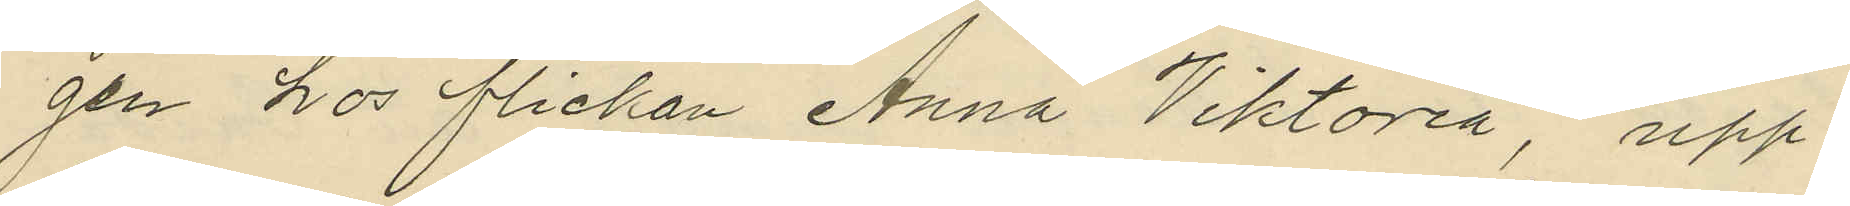gen hos flickan Anna Viktoria, upp¬
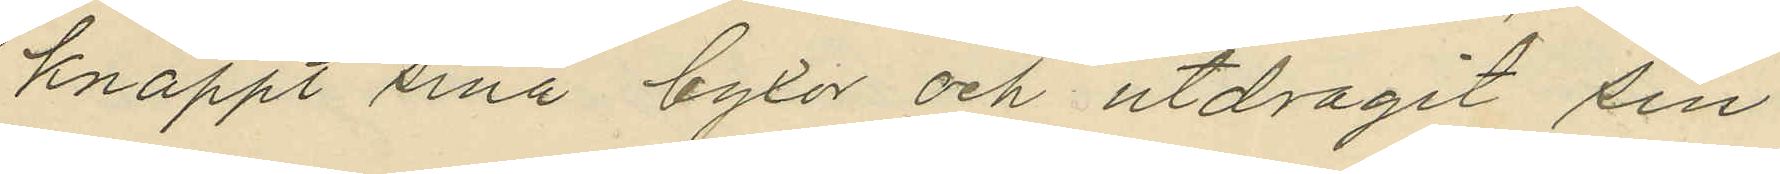knäppt sina byxor och utdragit sin
